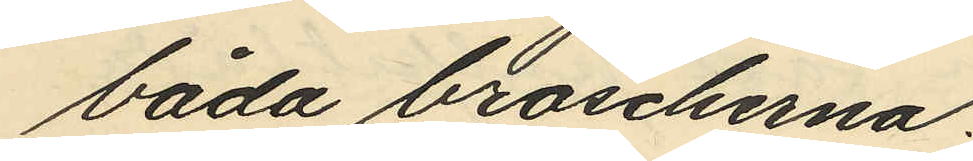båda broscherna.
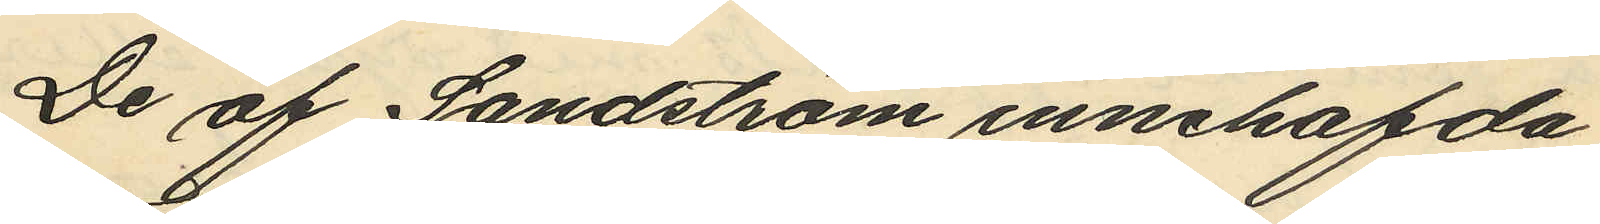De af Sandström innehafda
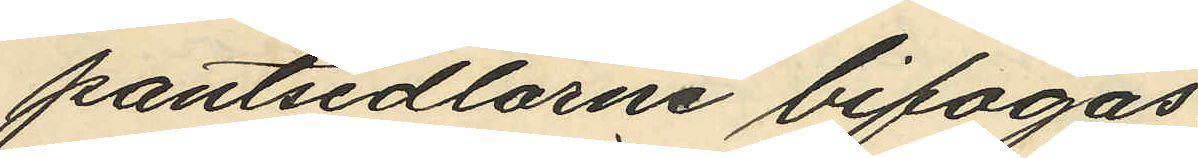pantsedlarne bifogas.
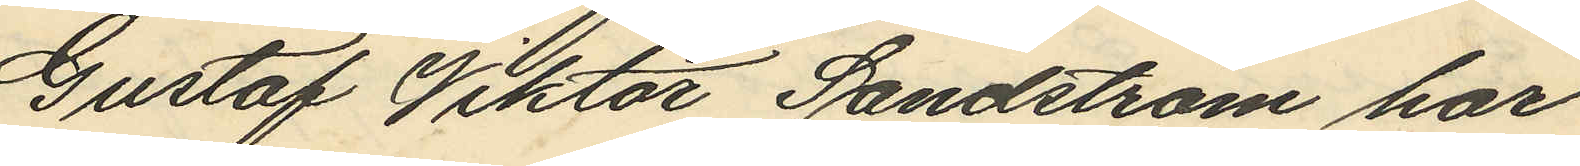Gustaf Viktor Sandström har
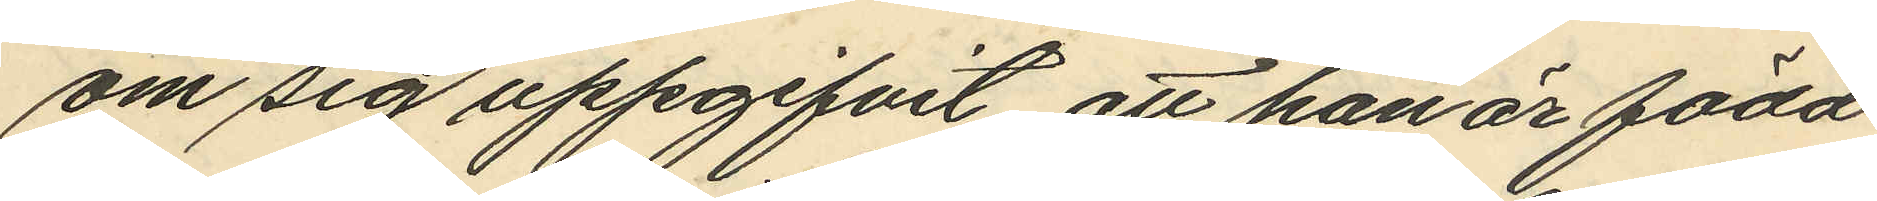om sig uppgifvit att han är född
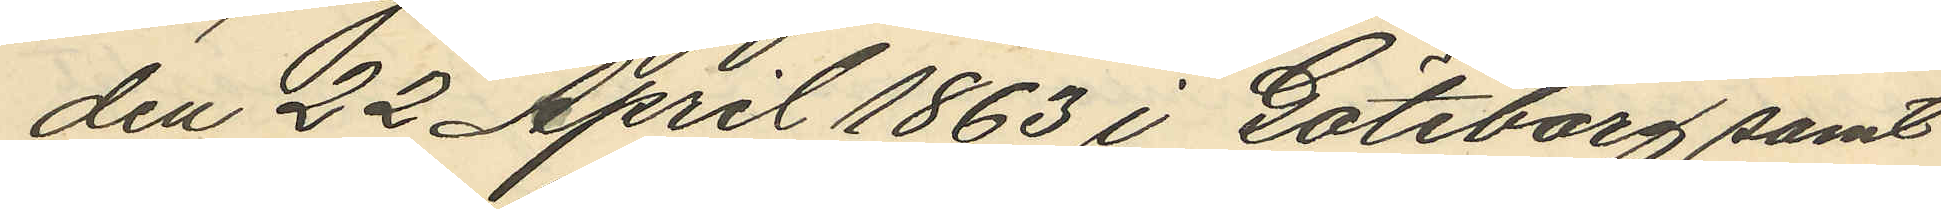den 22 April 1863 i Göteborg samt
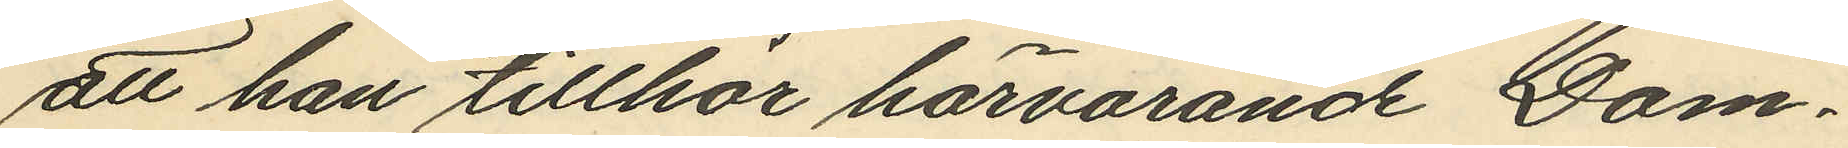att han tillhör härvarande Dom¬
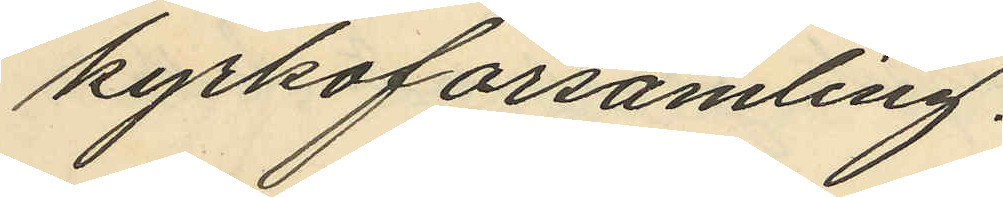kyrkoförsamling.
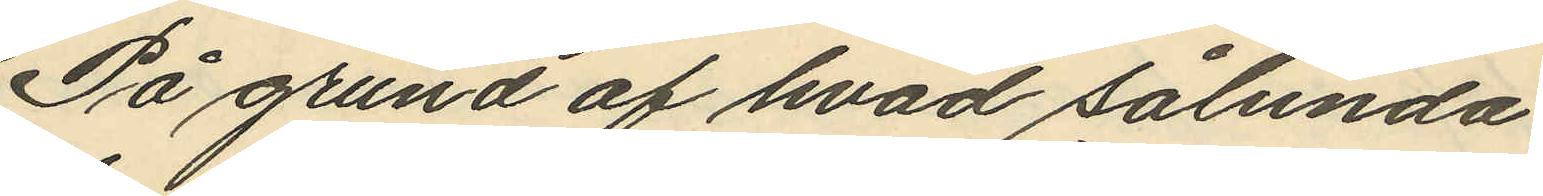På grund af hvad sålunda
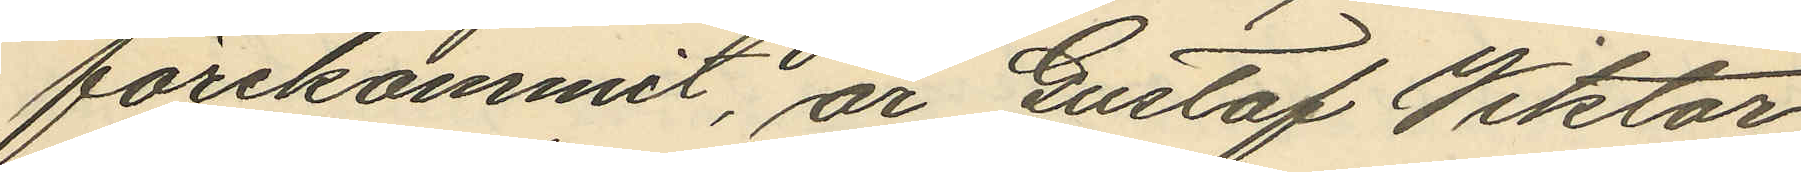förekommit, är Gustaf Viktor
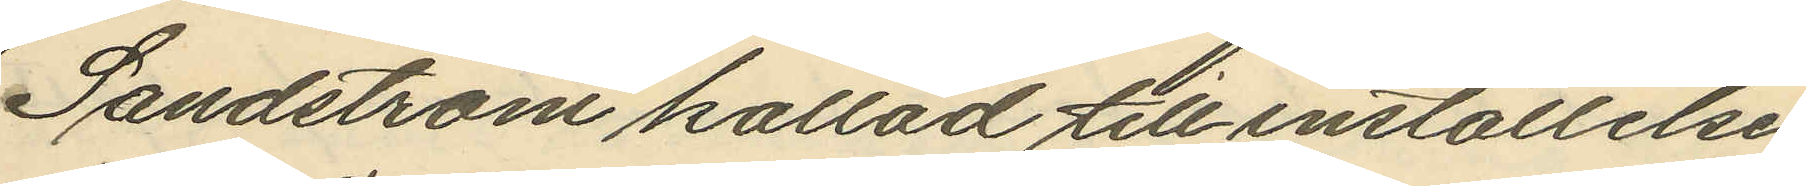Sandström kallad till inställelse
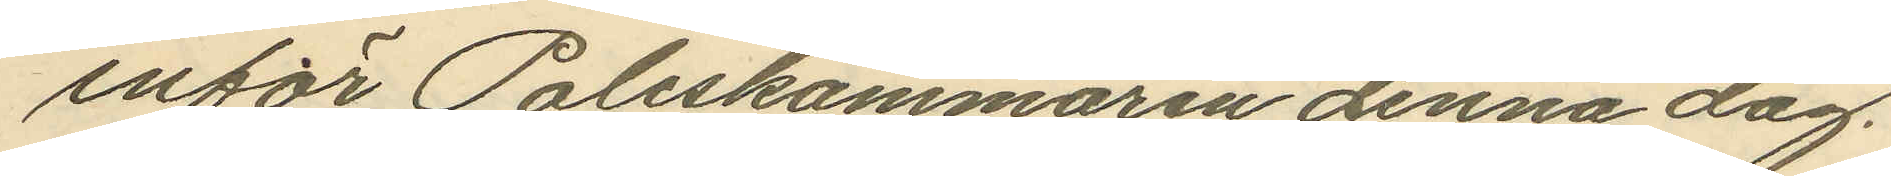inför Poliskammaren denna dag.
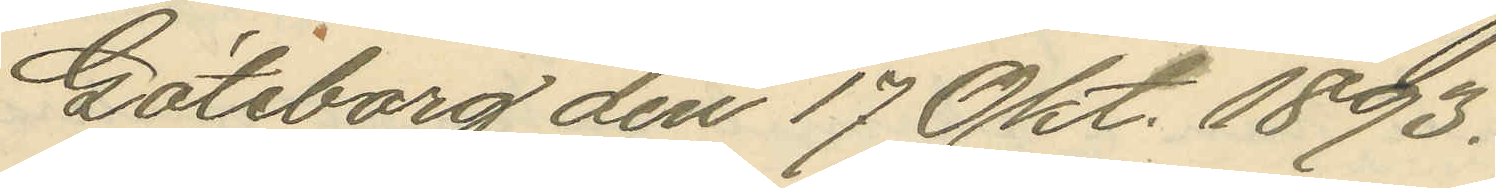Göteborg den 17 Okt. 1893.
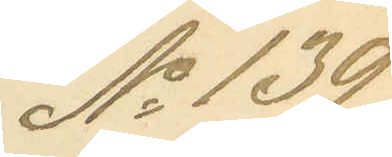No 139.
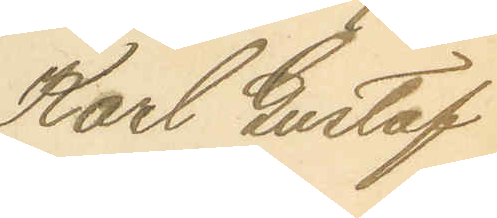Karl Gustaf
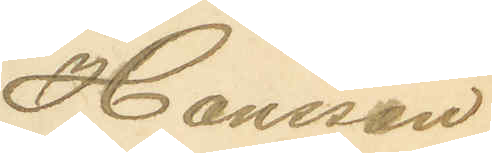Hansson.
